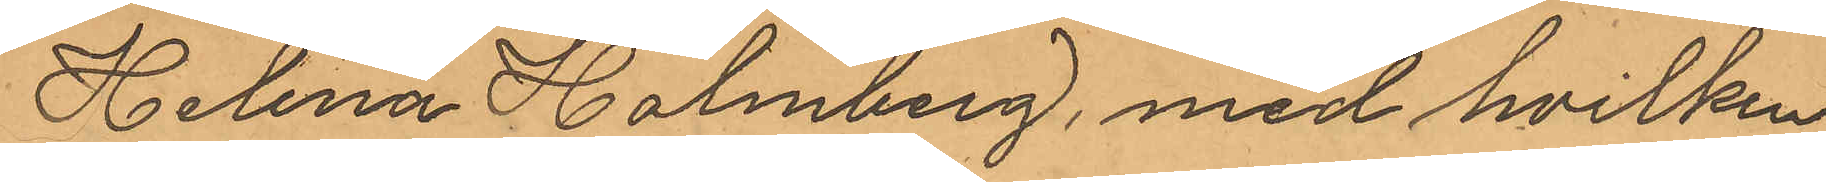Helena Holmberg, med hvilken
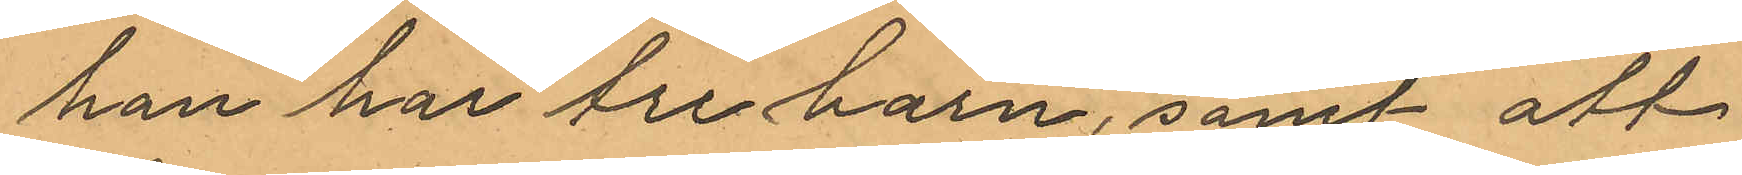han har tre barn, samt att
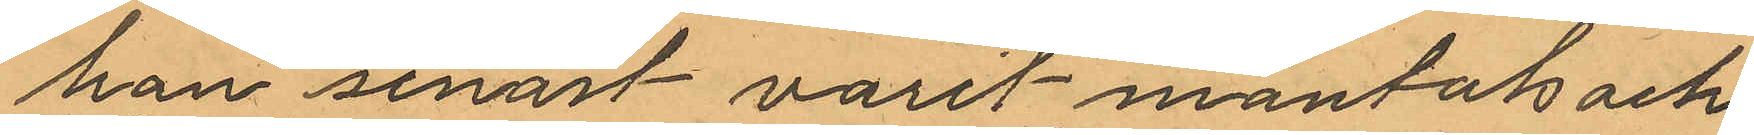han senast varit mantals- och
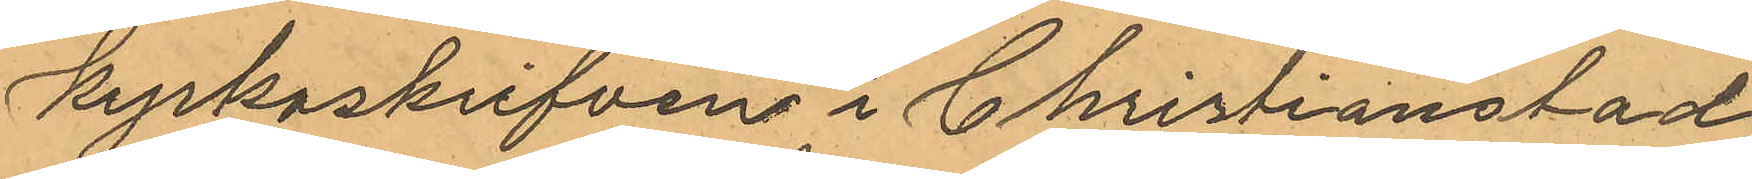kyrkoskrifvens i Christianstad.
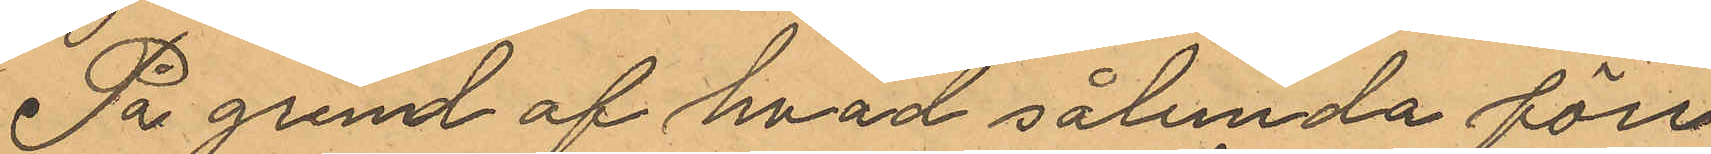På gund af hvad sålunda före¬
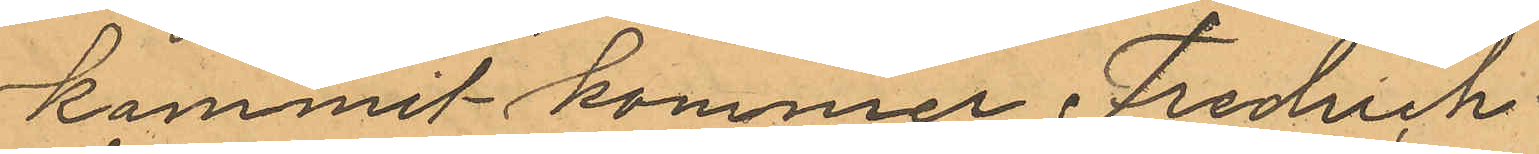kommit kommer Fredrich
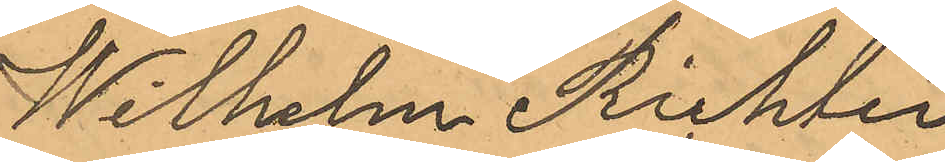Wilhelm Richter
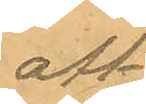att
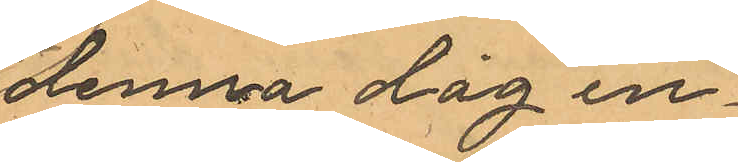denna dag in¬
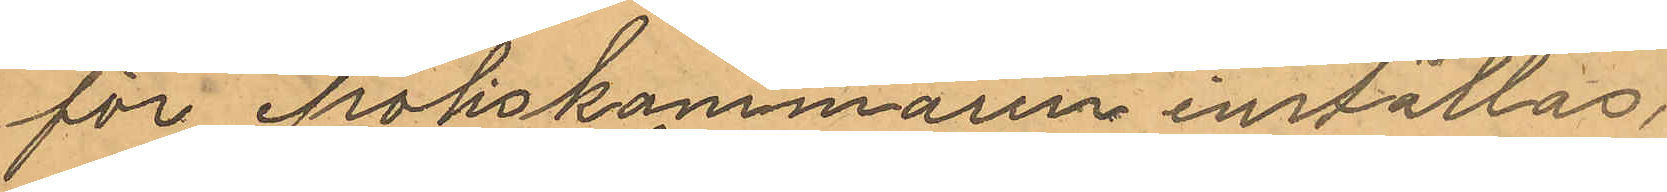för Polskammaren inställas.
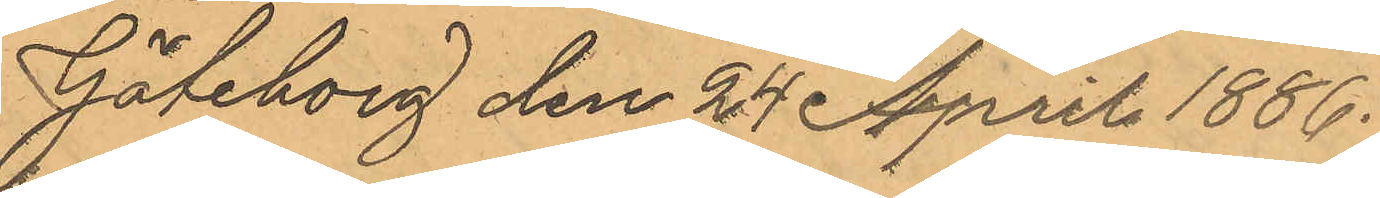Göteborg den 24 April 1886.
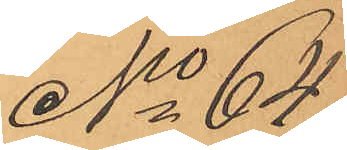No 64
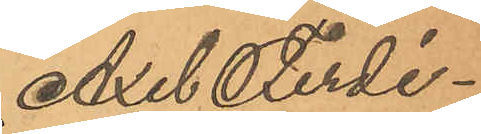Axel Ferdi¬
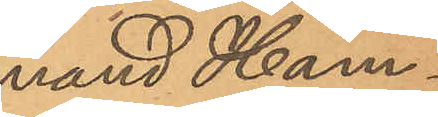nand Ham¬
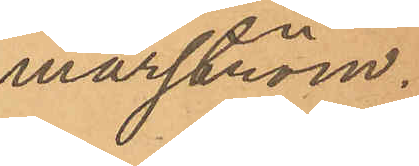marström.
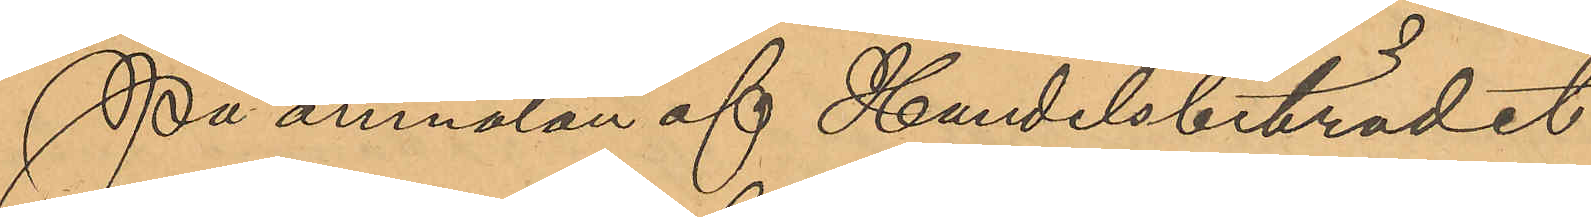På anmälan af Handelsbiträdet
